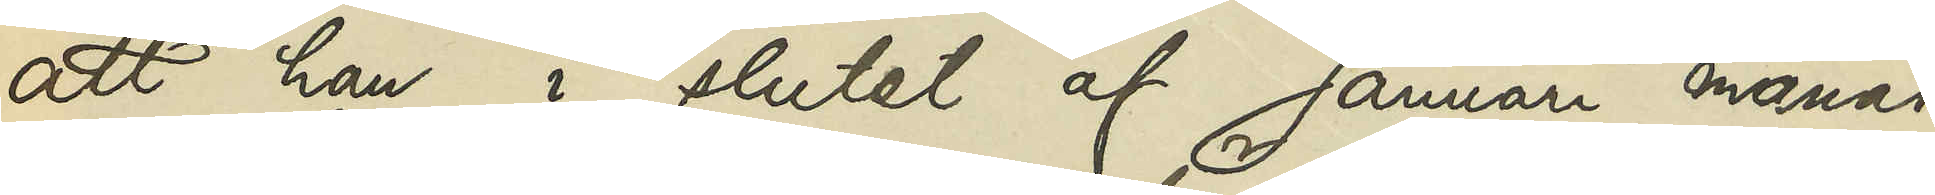att han i slutet af Januari månad
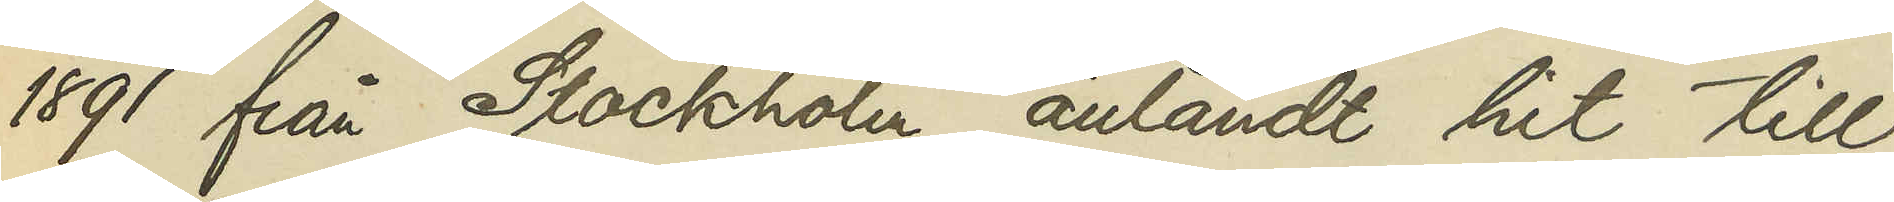1891 från Stockholm anländt hit till
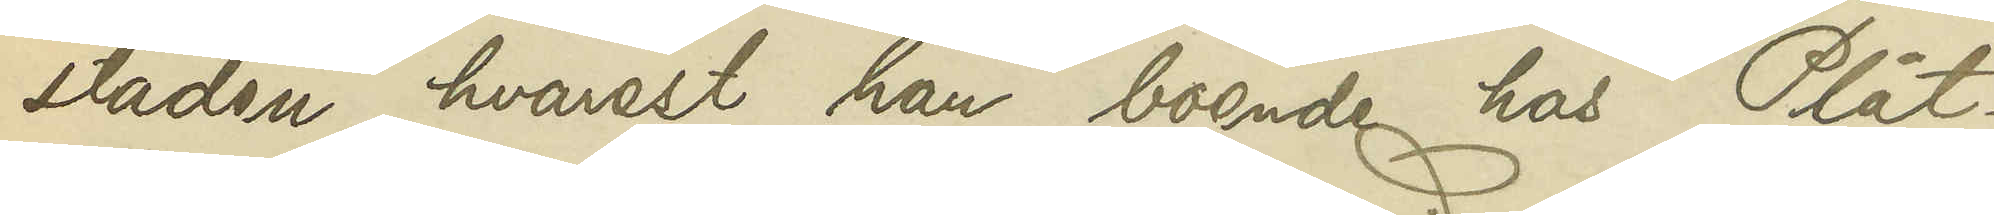staden, hvarest han, boende hos Plåt¬
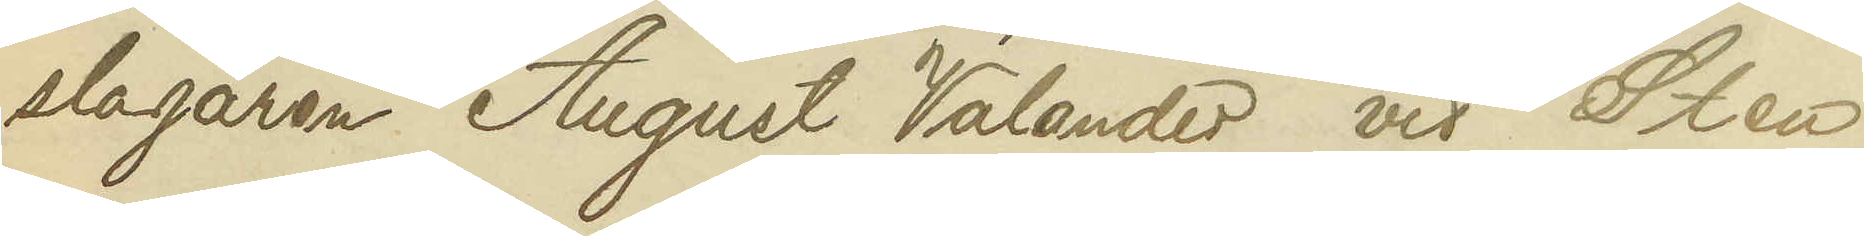slagaren August Valander vid Sten
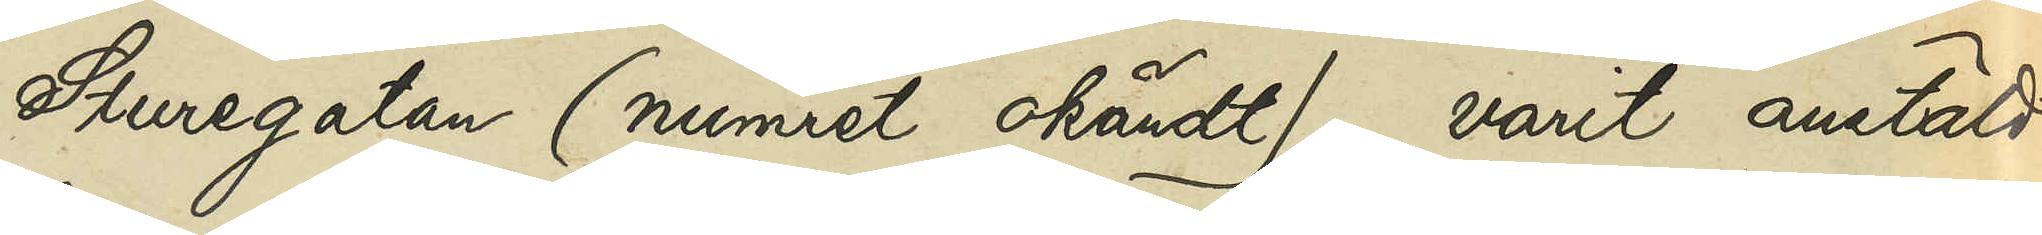Sturegatan (numret okändt), varit anstäld
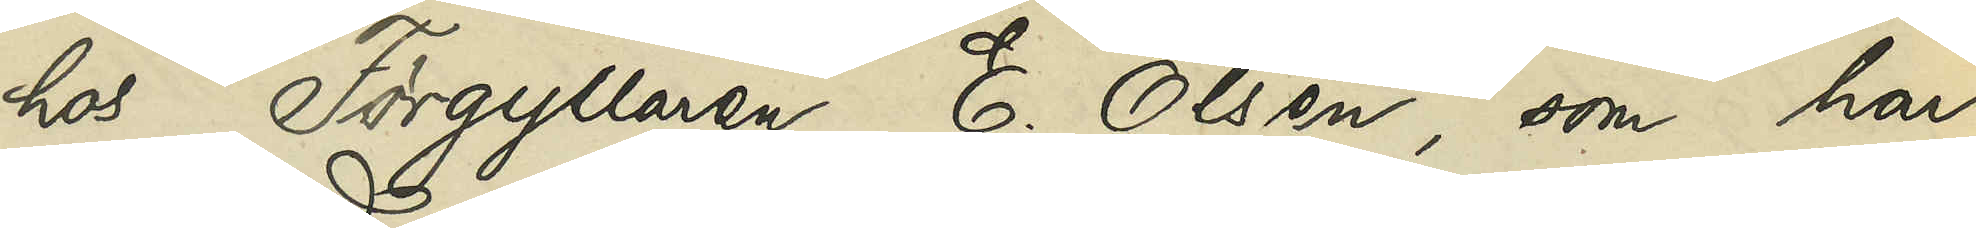hos Förgyllaren E. Olsen, som har
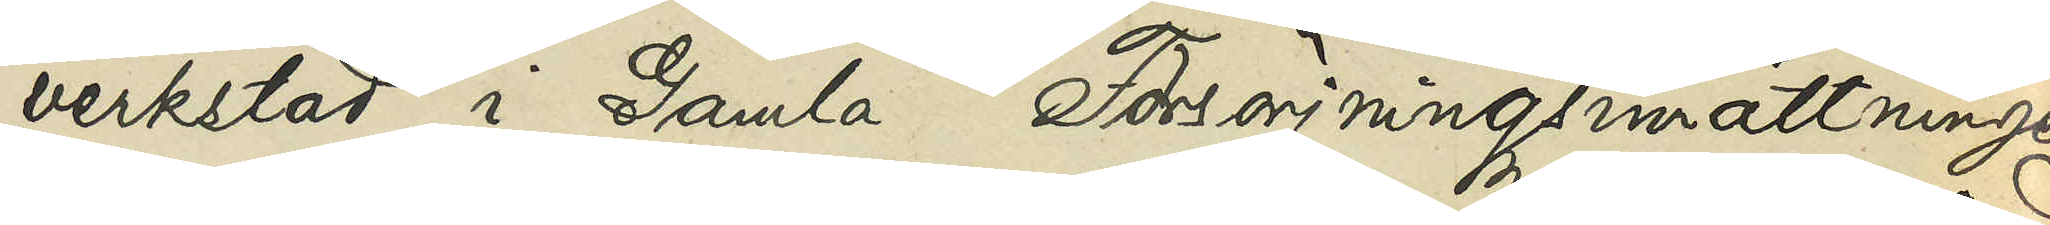verkstad i Gamla Försörjningsinrättningen
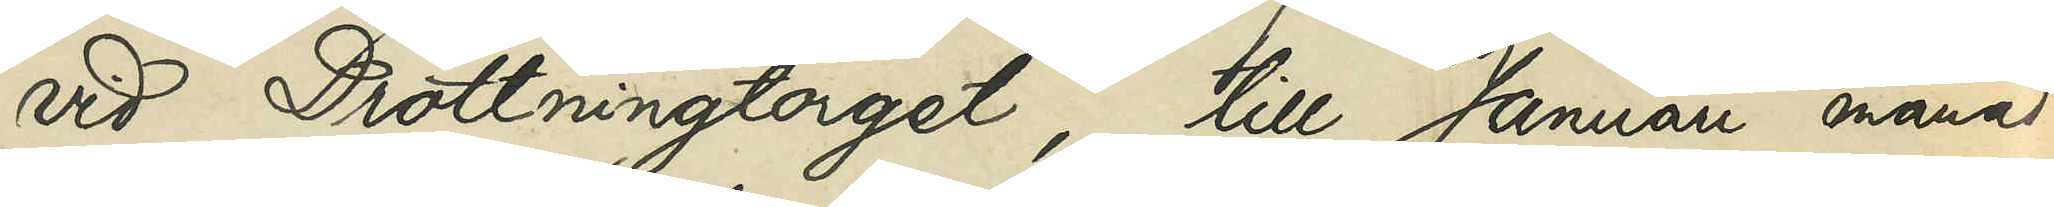vid Drottningtorget, till Januari månad
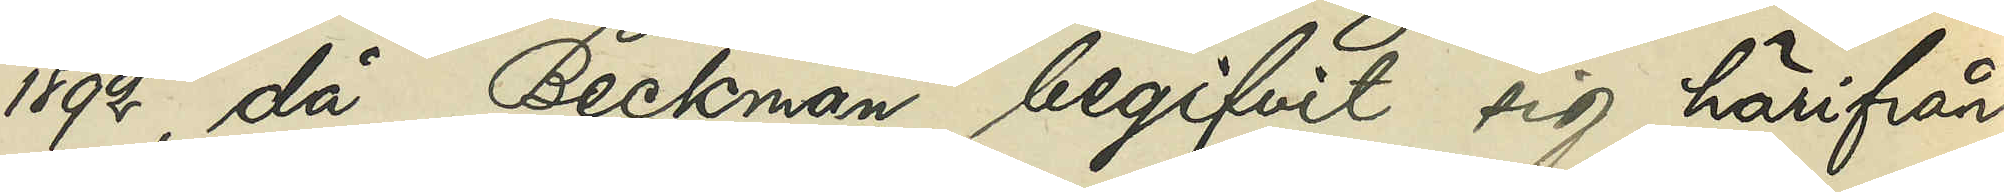1892, då Beckman begifvit sig härifrån
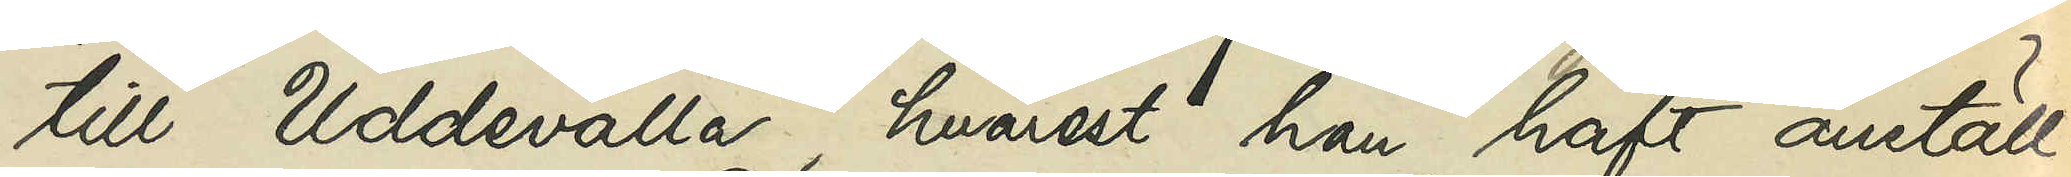till Uddevalla, hvarest han haft anställ¬
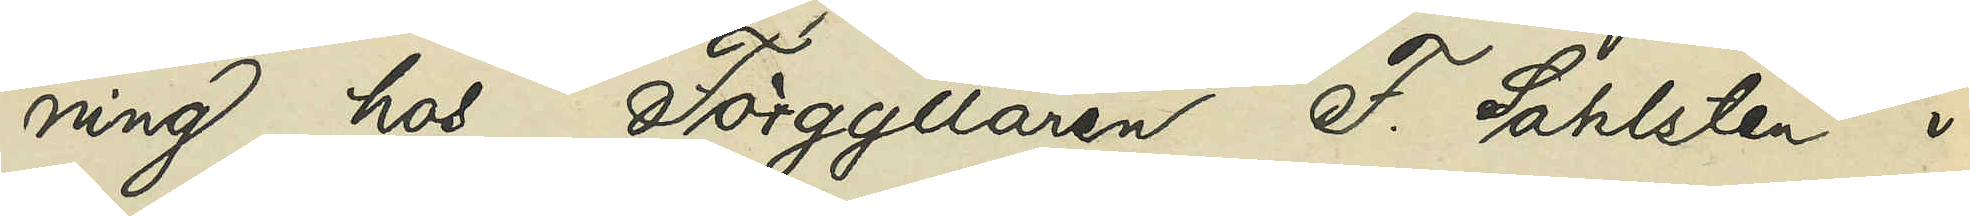ning hos Förgyllaren F. Sahlén i
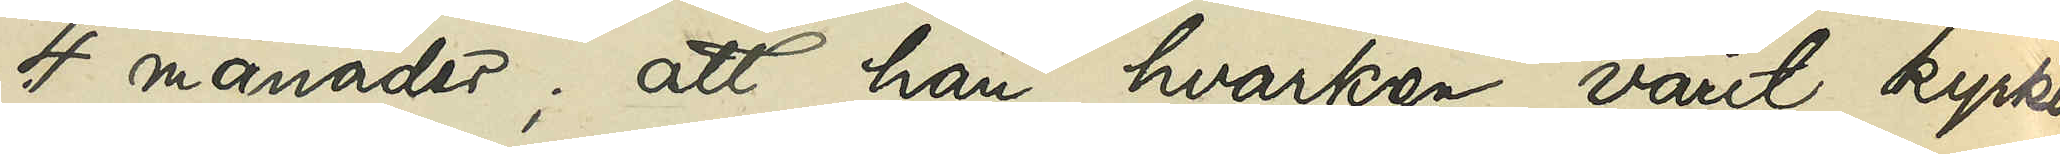4 månader; att han hvarken varit kyrko-
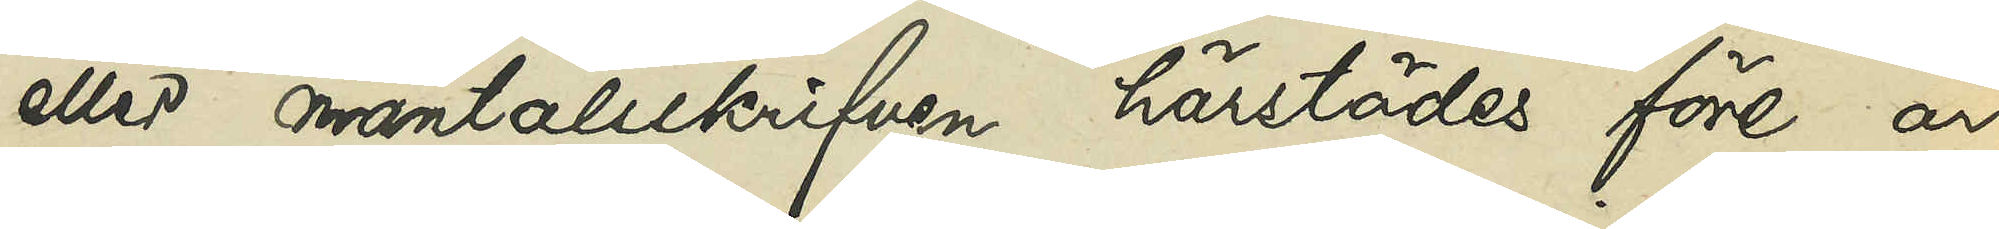eller mantalsskrifven härstädes före år
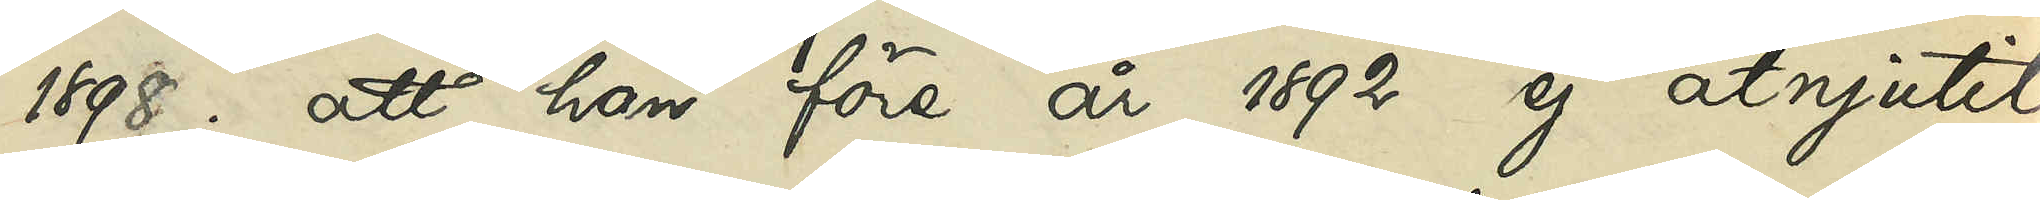1898; att han före 1892 ej åtnjutit
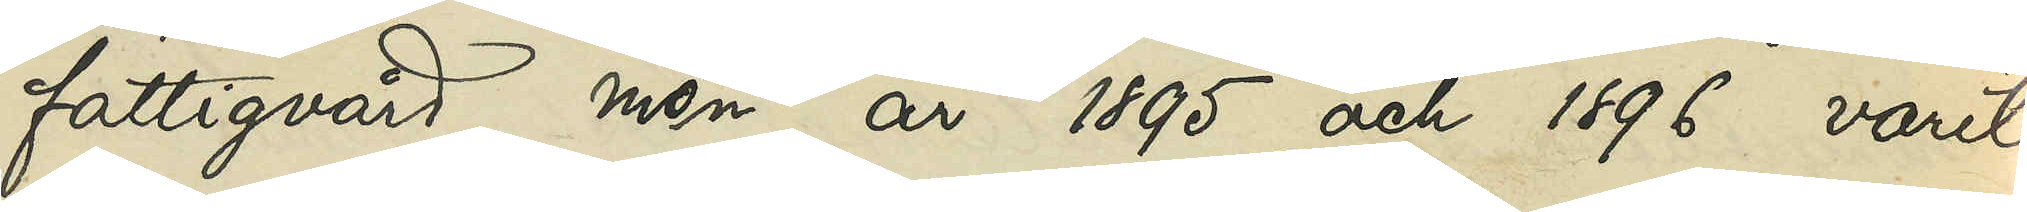fattigvård, men å 1895 och 1896 varit
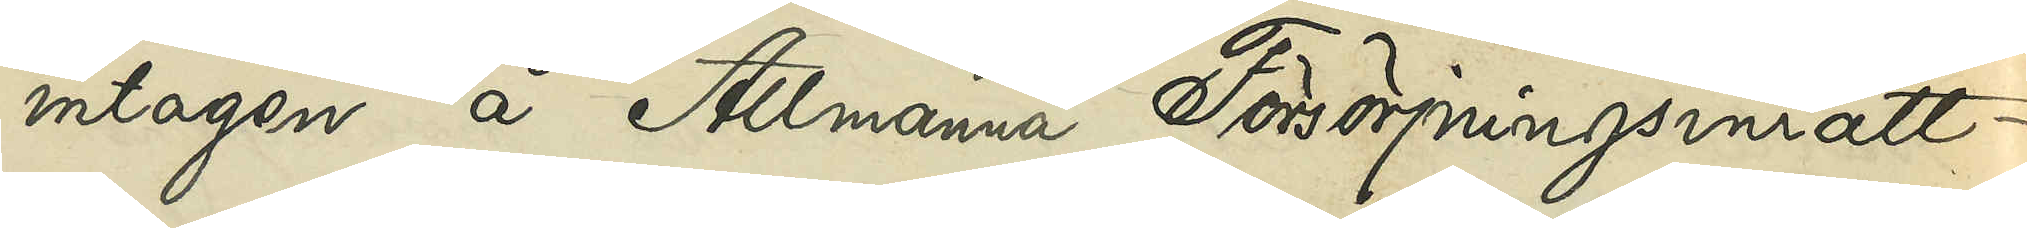intagen å Allmänna Försörjningsinrätt¬
